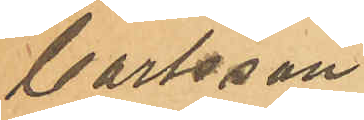Carlsson
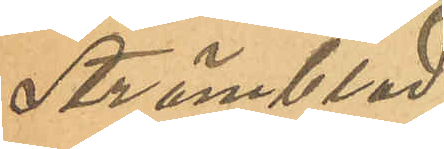Strömblad
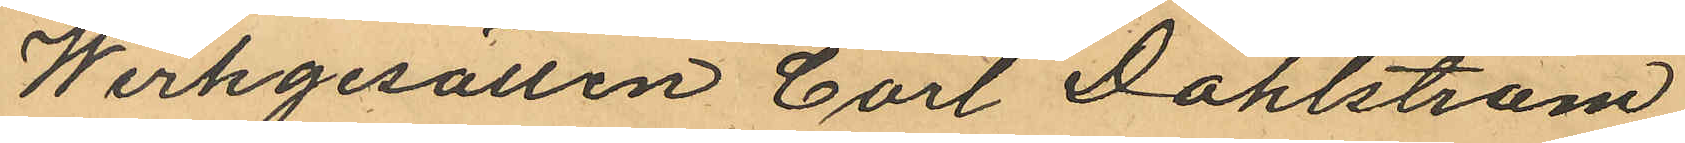Werkgesällen Carl Dahlström
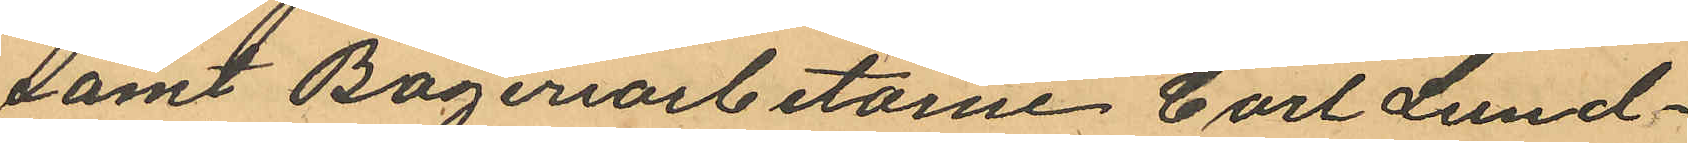samt Bageriarbetarne Carl Lund¬
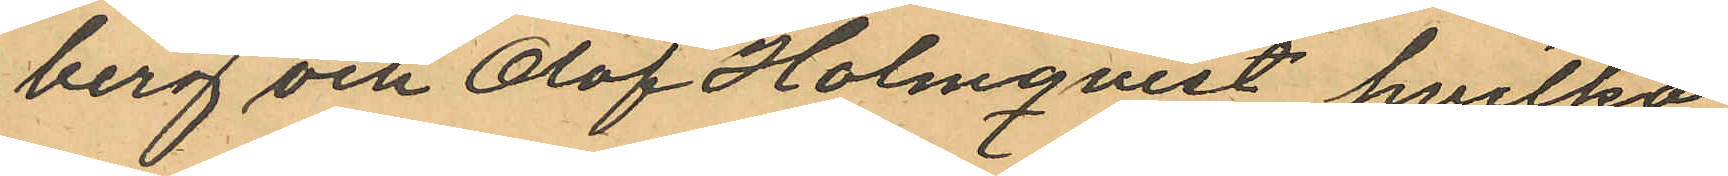berg och Olof Holmqvist, hvilka
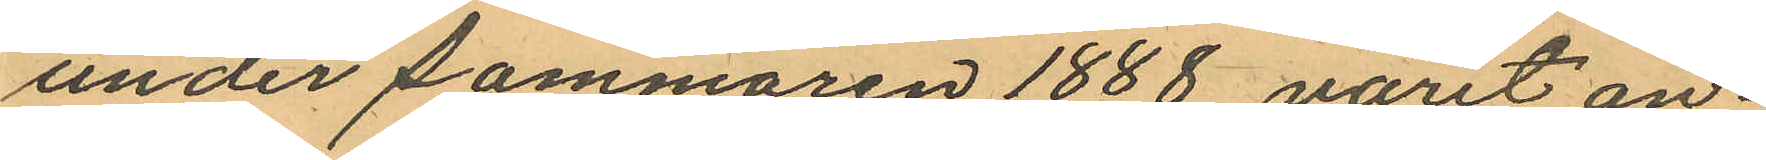under sommaren 1888 varit an¬
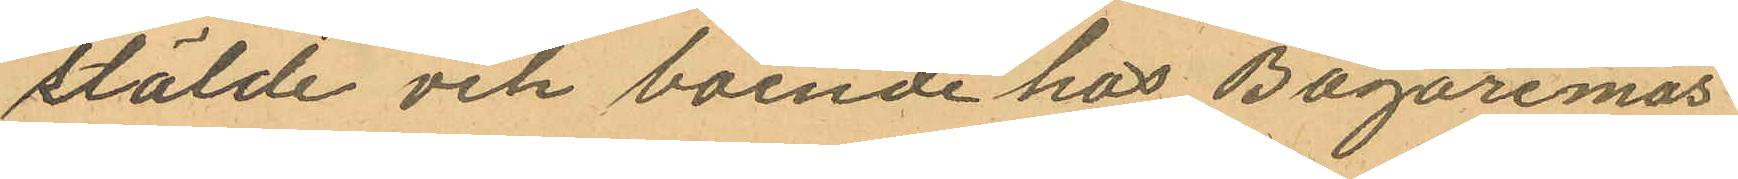stälde och boende hos Bagaremäs¬
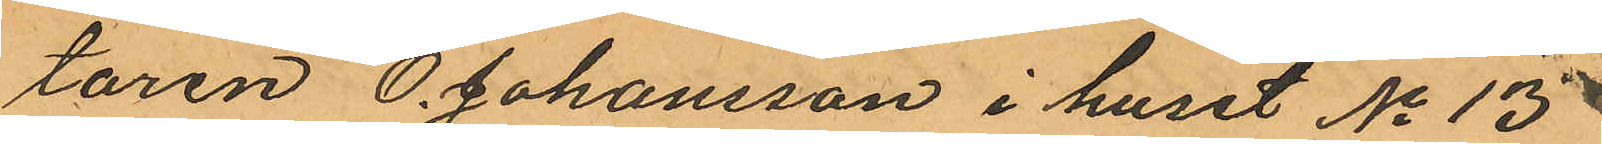taren O. Johansson i huset No 13
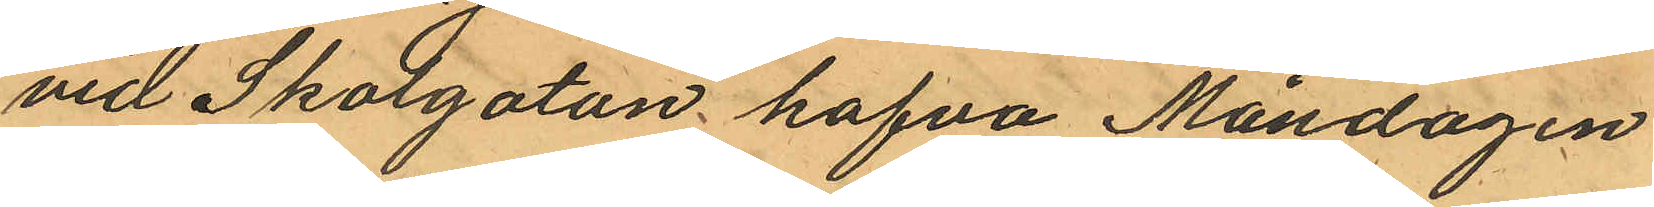vid Skolgatan hafva Måndagen
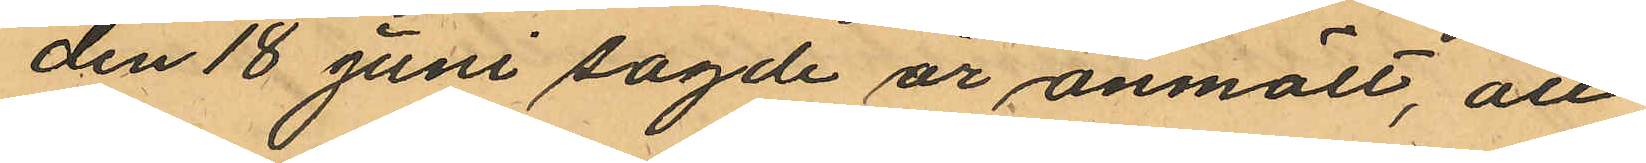den 18 juni sagde år anmält, att
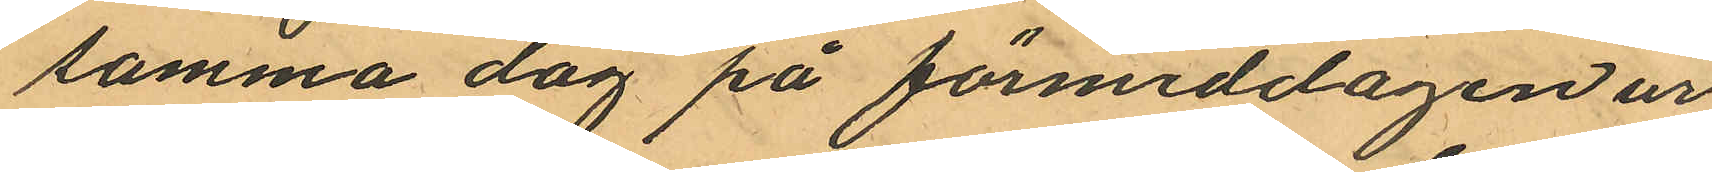samma dag på förmiddagen ur
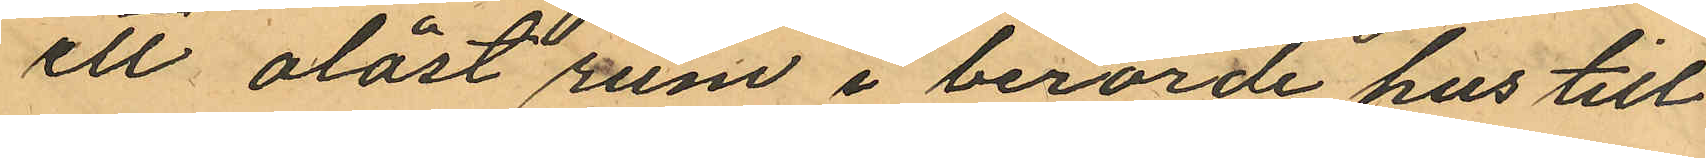ett olåst rum i berörde hus till
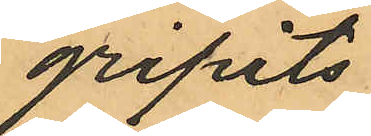gripits:
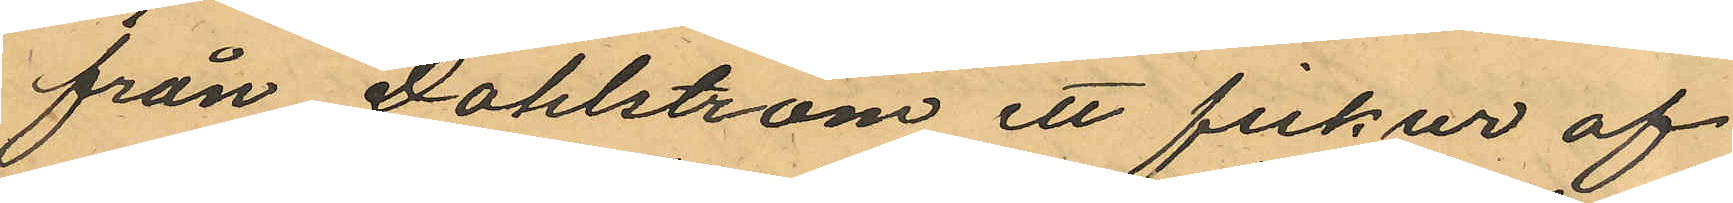från Dahlström ett fickur af
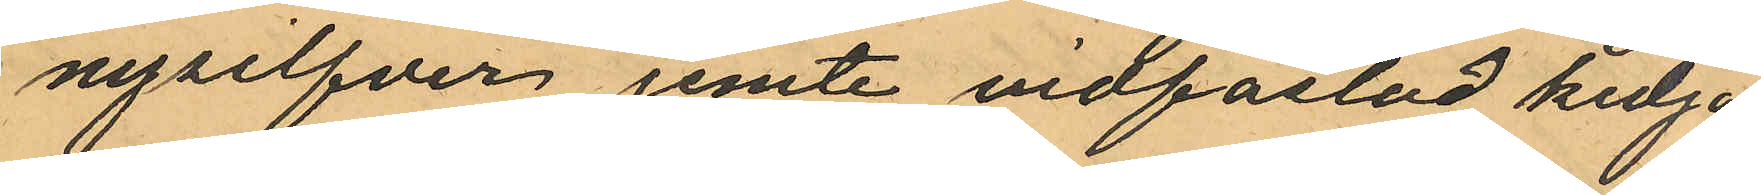nysilfver jemte vidfästad kedja
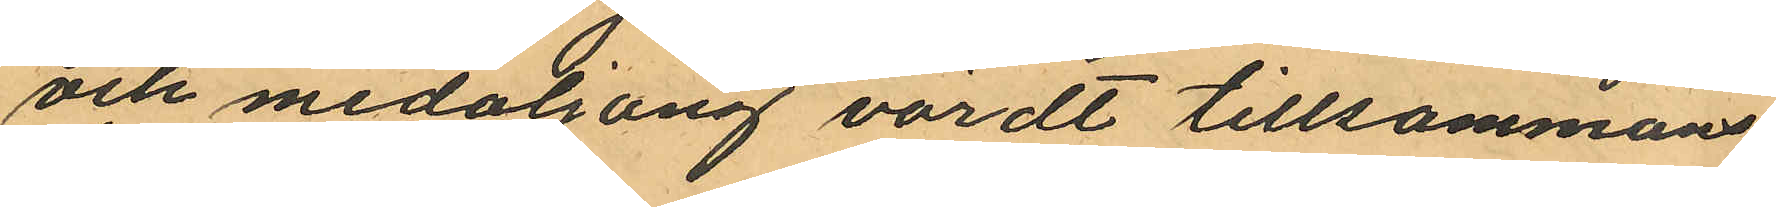och medaljong värdt tillsammans
